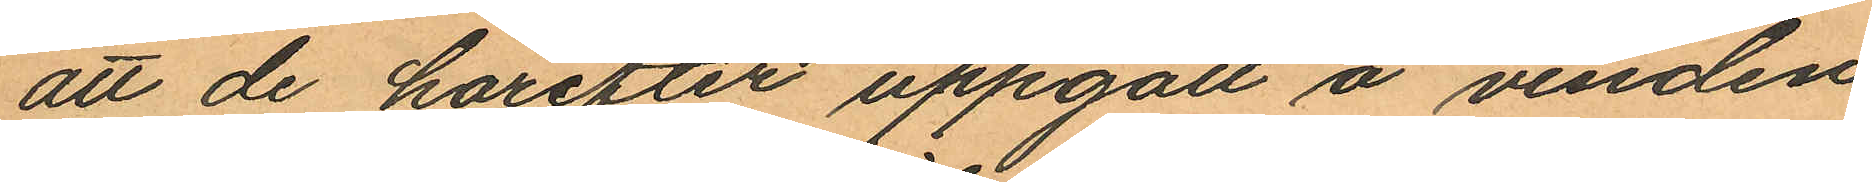att de härefter uppgått å vinden
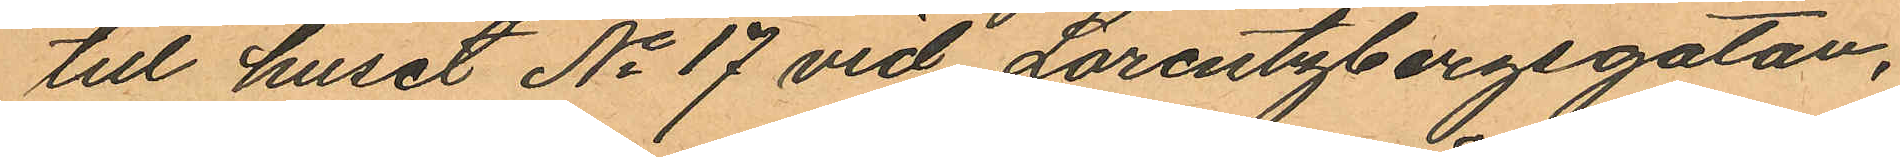till huset No 17 vid Lorentzbergsgatan,
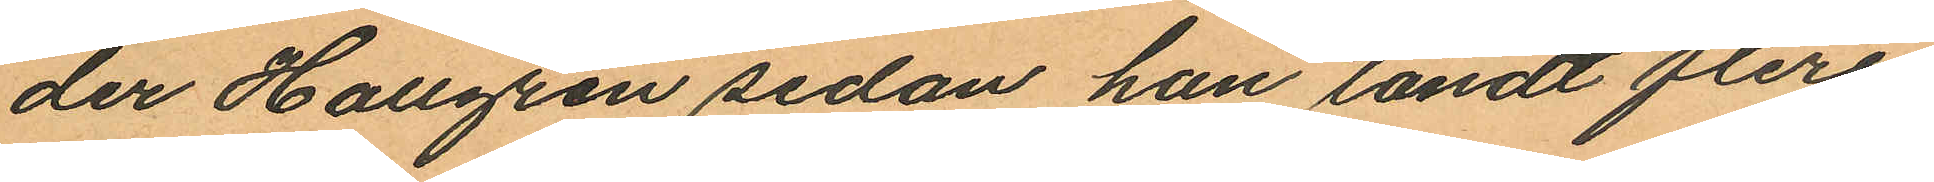der Hallgren sedan han tändt flere
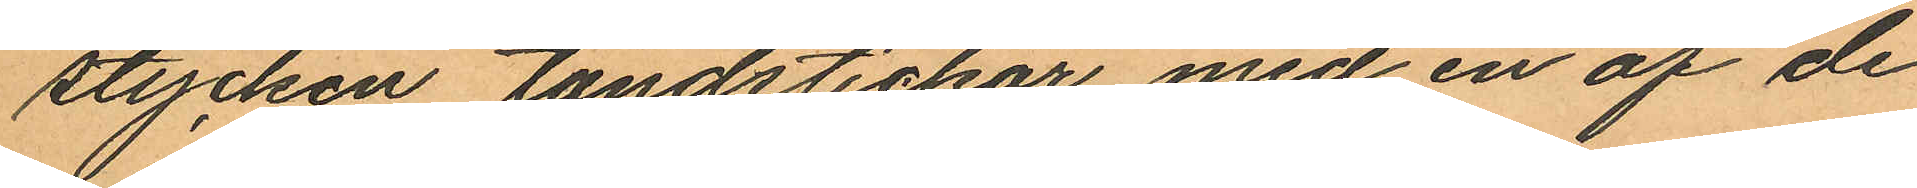stycken tändstickor med en af de
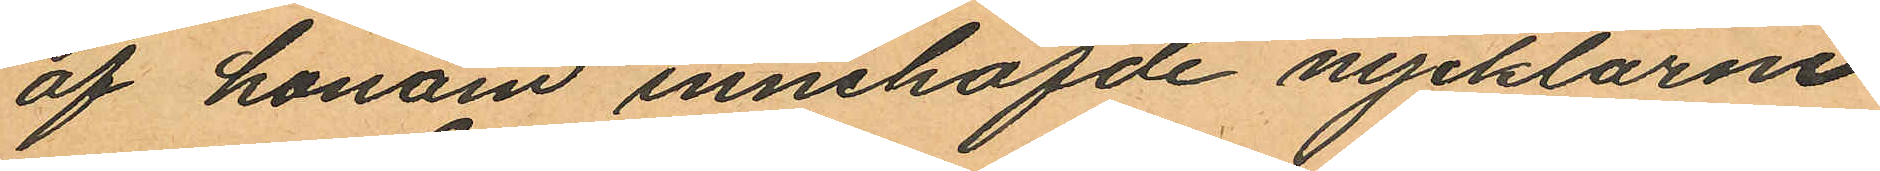af honom innehafde nycklarne
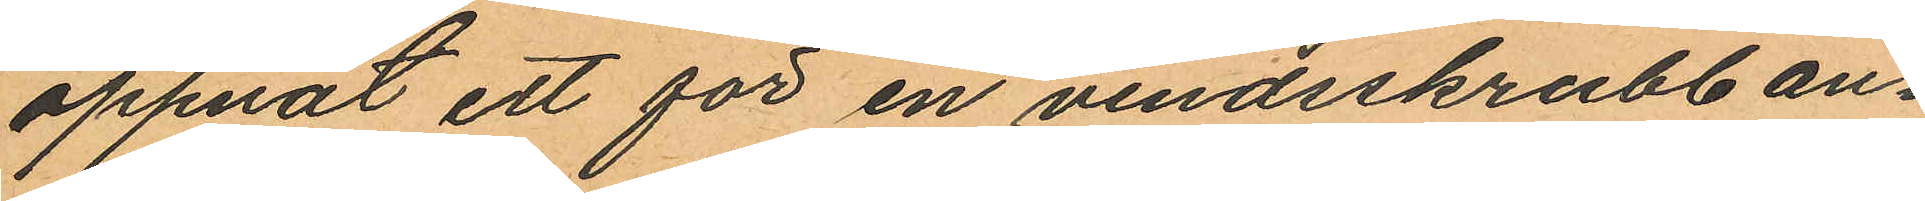oppnat ett för en vindsskrubb an¬
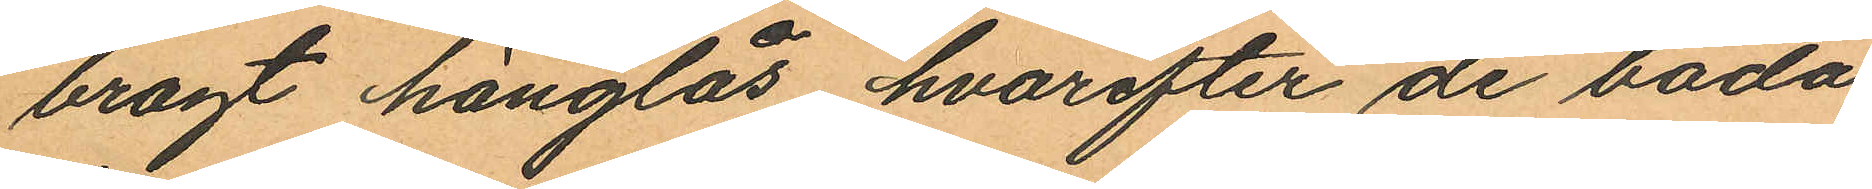bragt hänglås hvarefter de båda
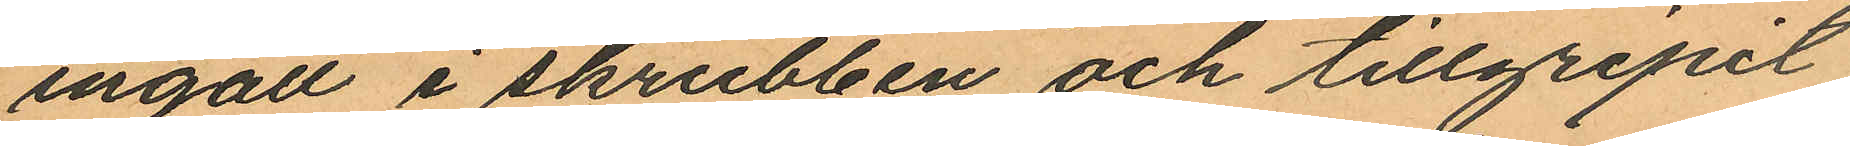ingått i skrubben och tillgripit
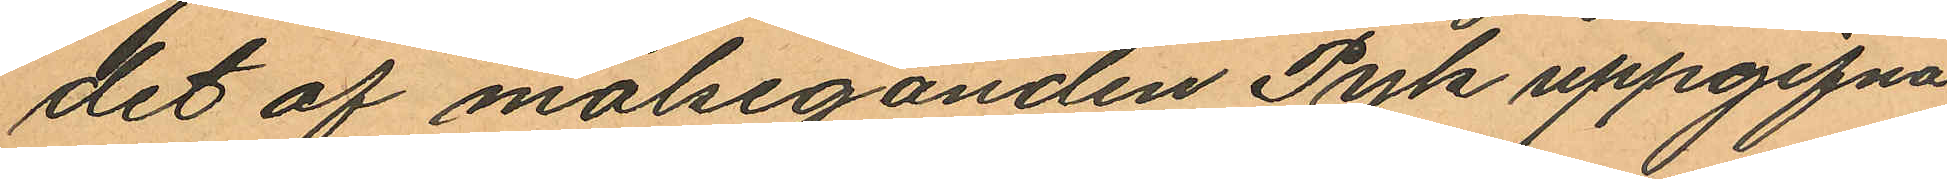det af målseganden Pyk uppgifna
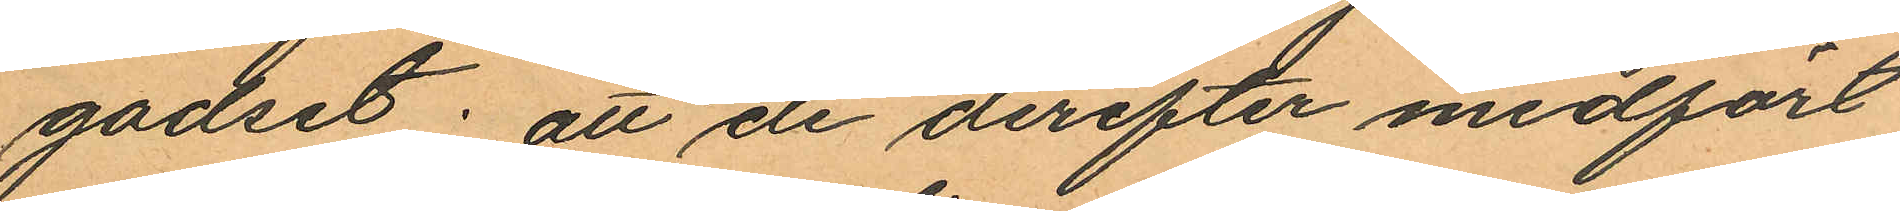godset; att de derefter medfört
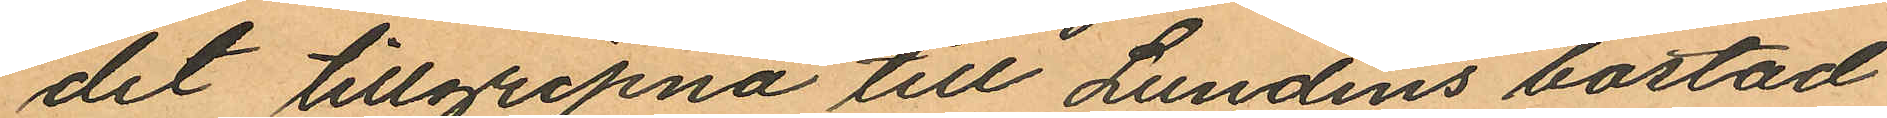det tillgripna till Lundins bostad
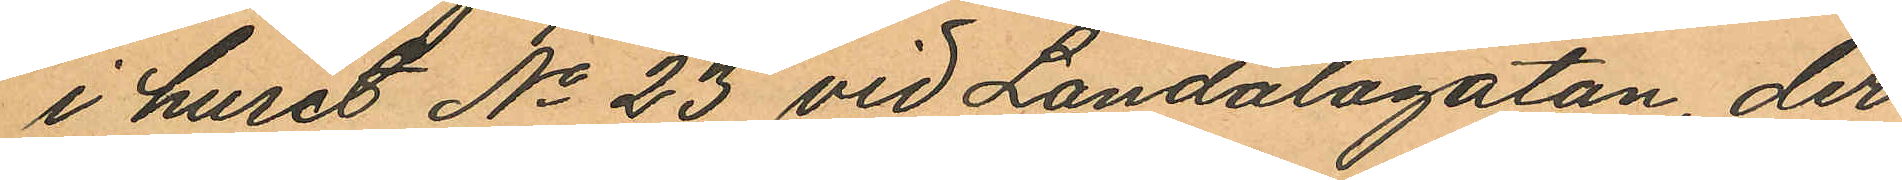i huset No 23 vid Landalagatan, der
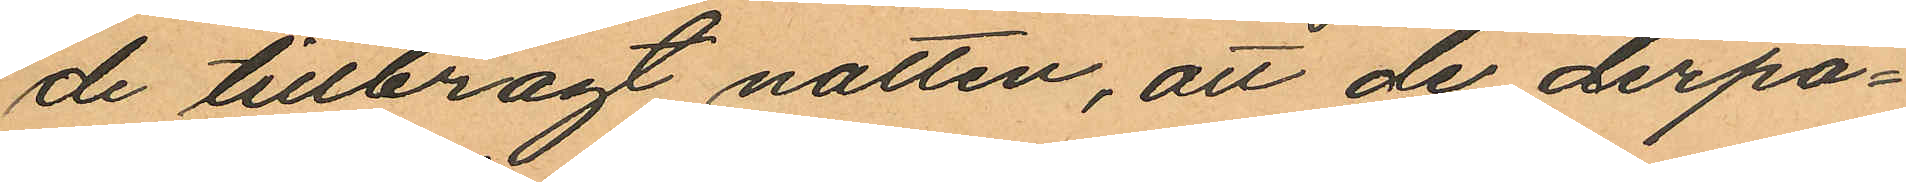de tillbragt natten, att de derpå¬
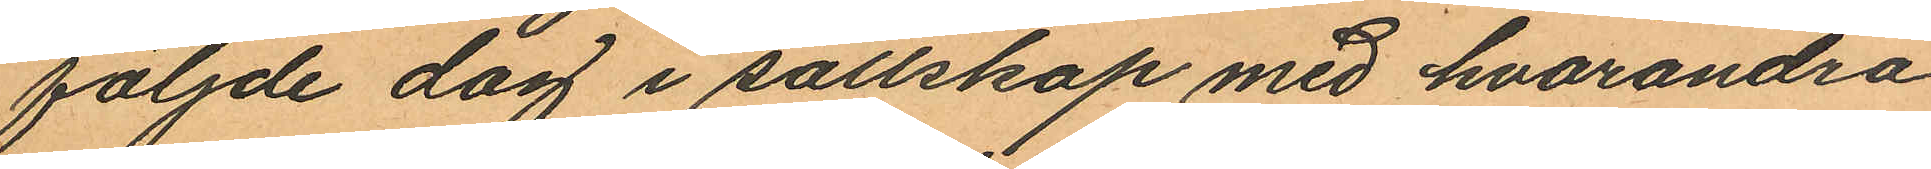följde dag i sällskap med hvarandra
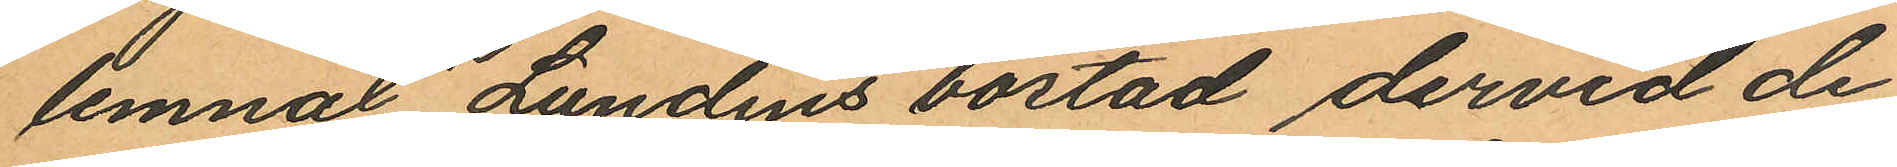lemnat Lundins bostad dervid de
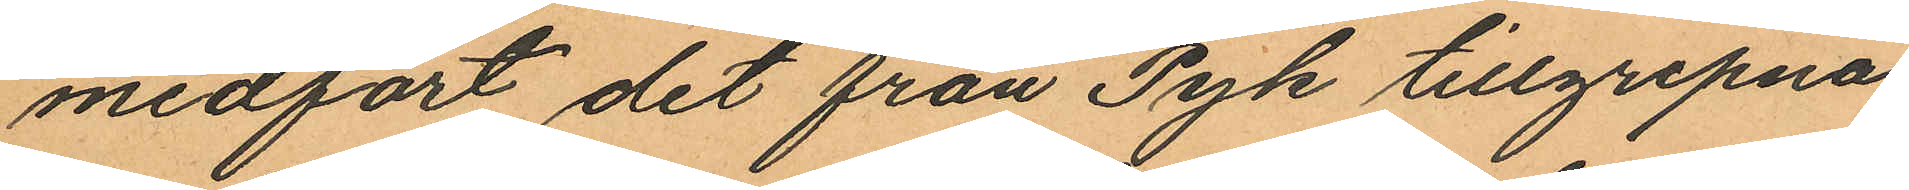medfört det från Pyk tillgripna
